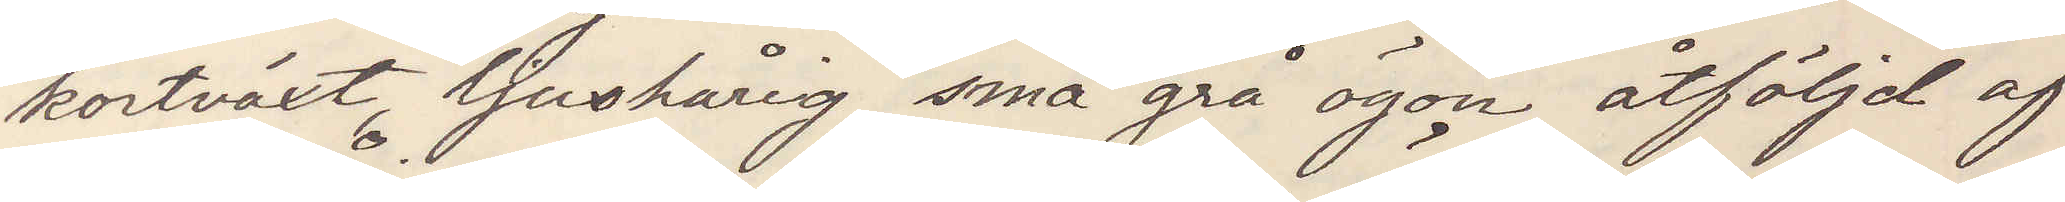kortväxt ljushårig små grå ögon åtföljd af
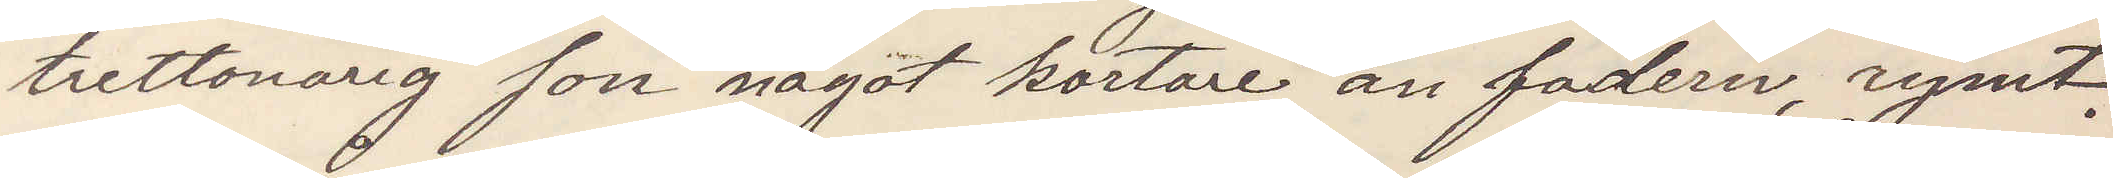trettonårig son något kortare än fadern, rymt.
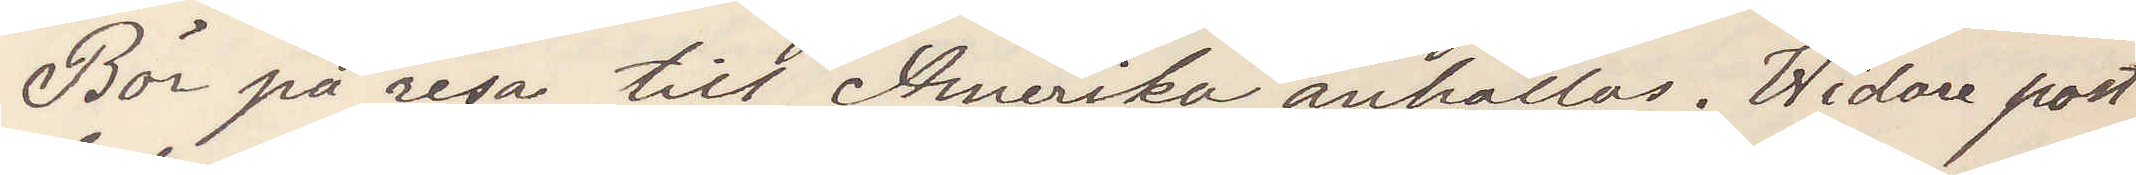Bör på resa till Amerika anhållas. Widare post¬
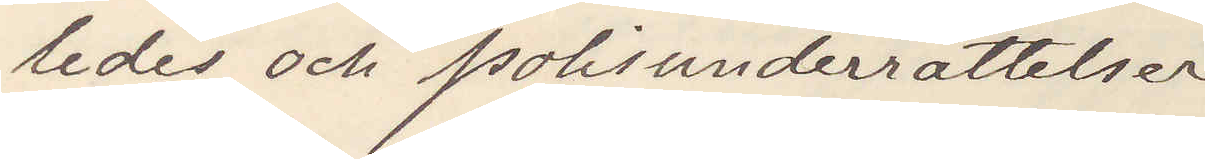ledes och polisunderrättelser
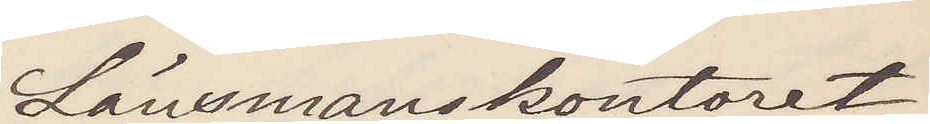Länsmanskontoret
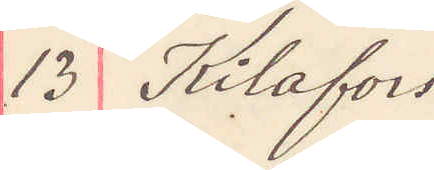13 Kilafors
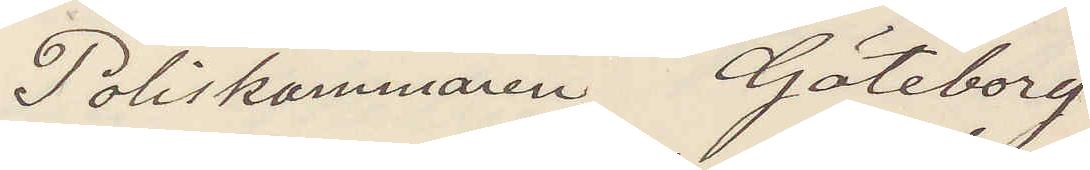Poliskammaren Göteborg
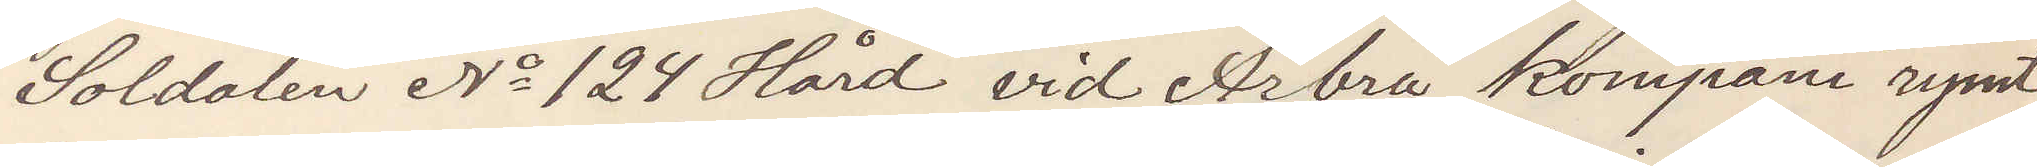Soldaten No 124 Hård vid Arbrå kompani rymt
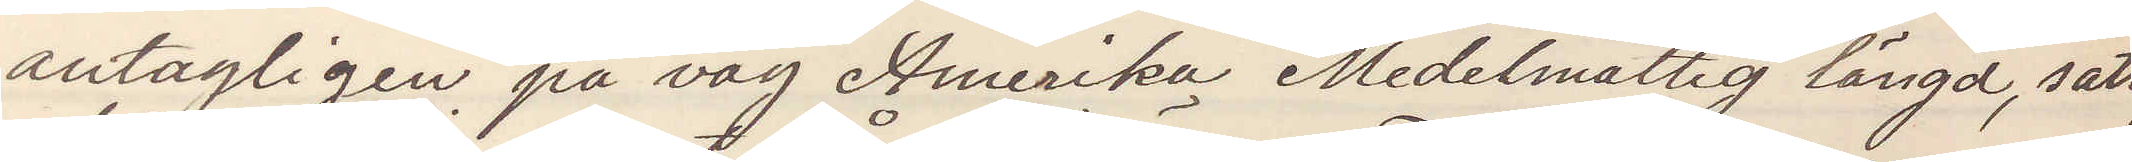antagligen på väg Amerika Medelmåttig längd, satt,
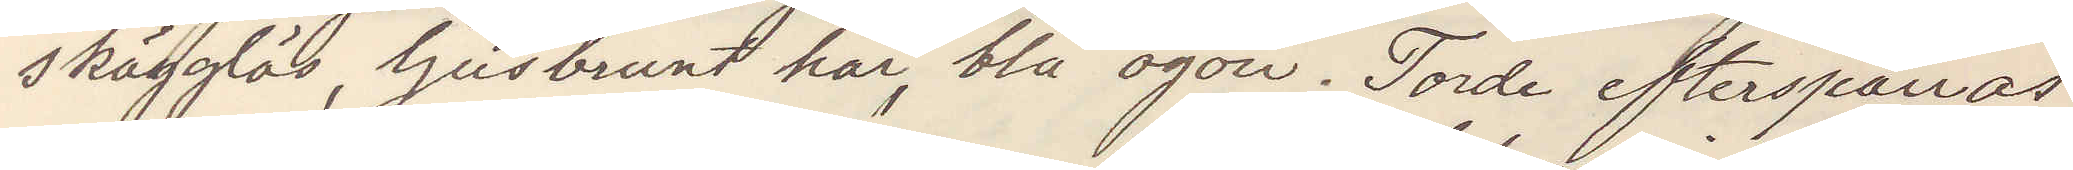skägglös, ljusbrunt hår, blå ögon. Torde efterspanas
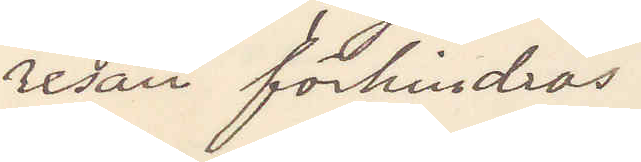resan förhindras.
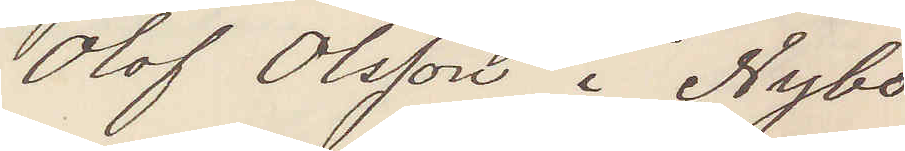Olof Olsson i Nybo
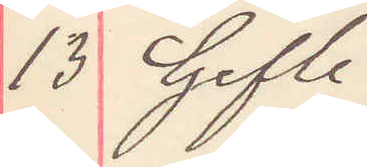13 Gefle
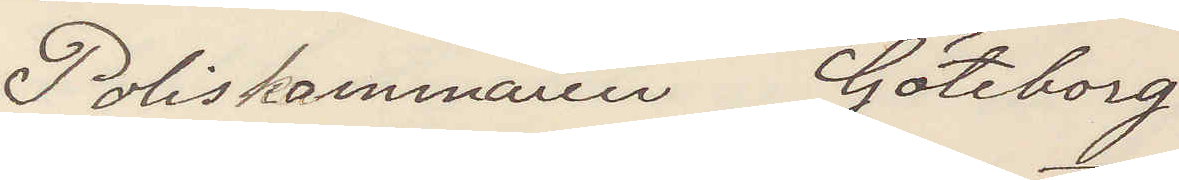Poliskammaren Göteborg
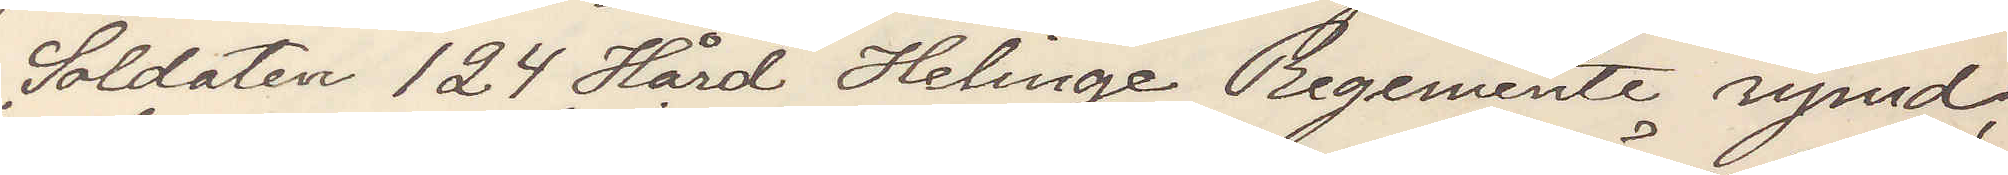Soldaten 124 Hård Helinge Regemente rymd,
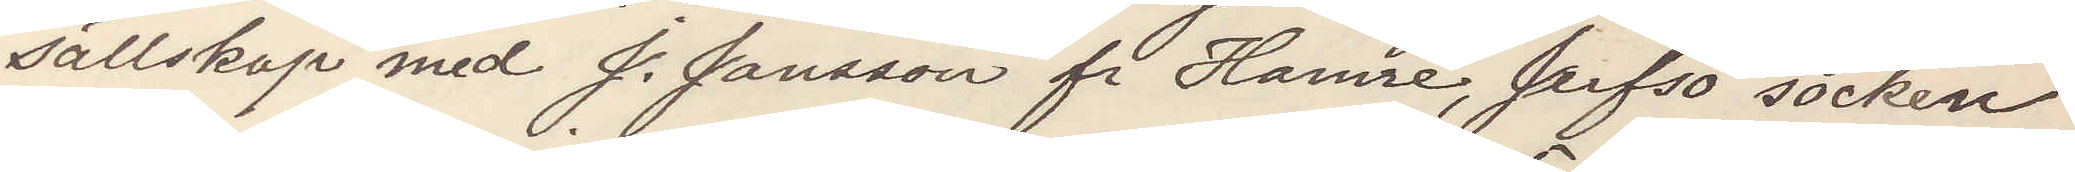sällskap med J. Jansson fr Hamre, Jerfsö socken
